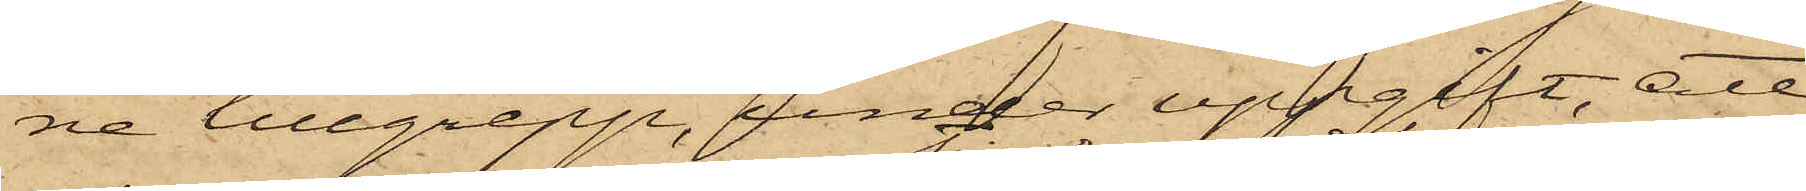ne tillgrepp, under uppgift att
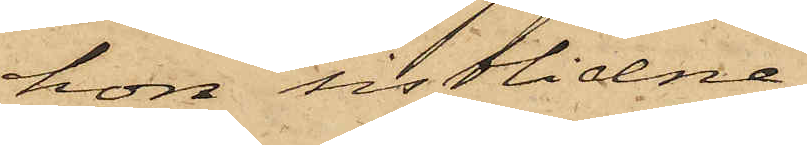hon sistlidne
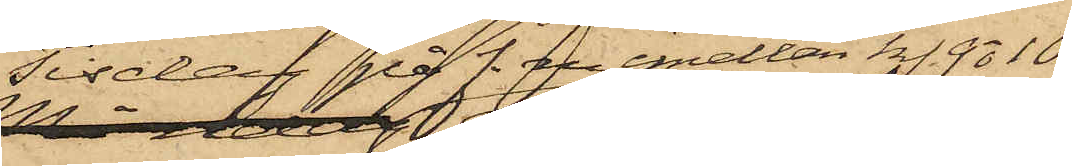Tisdag på f.m. emellan kl. 9 o 10
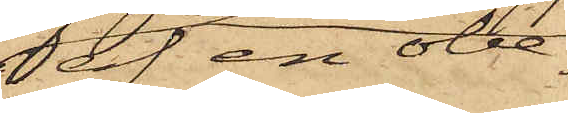af en obe¬
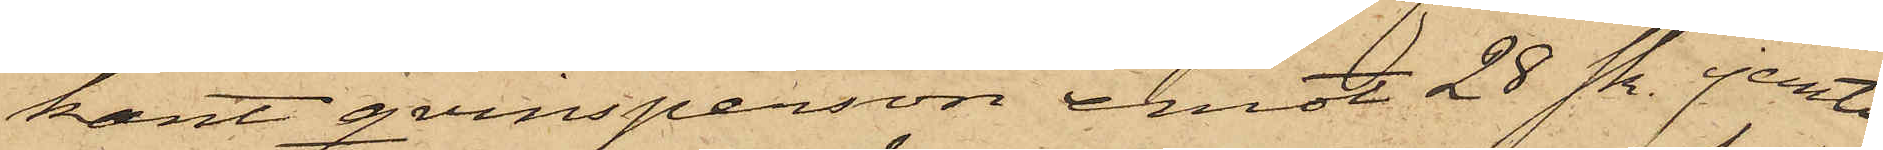kant qvinsperson emot 28 sk. jemte
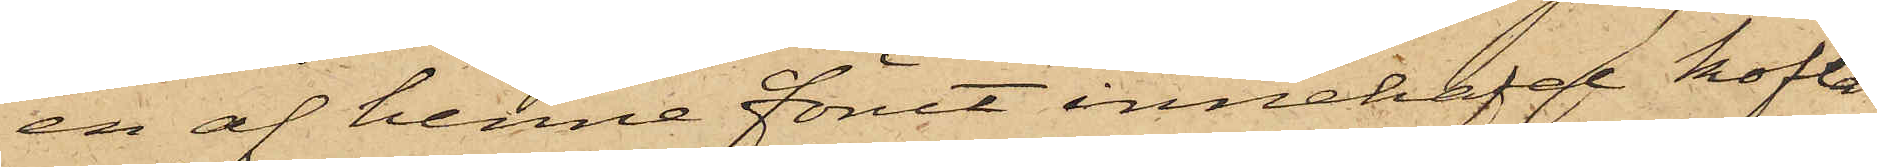en af henne förut innehafd kofta
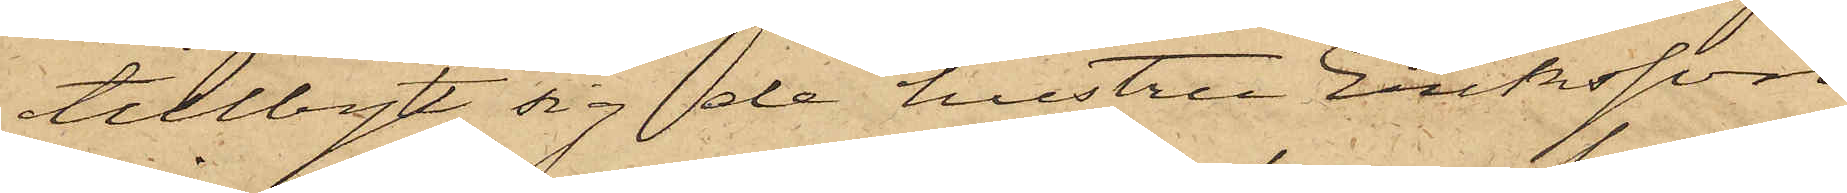tillbytt sig de hustru Eriksson
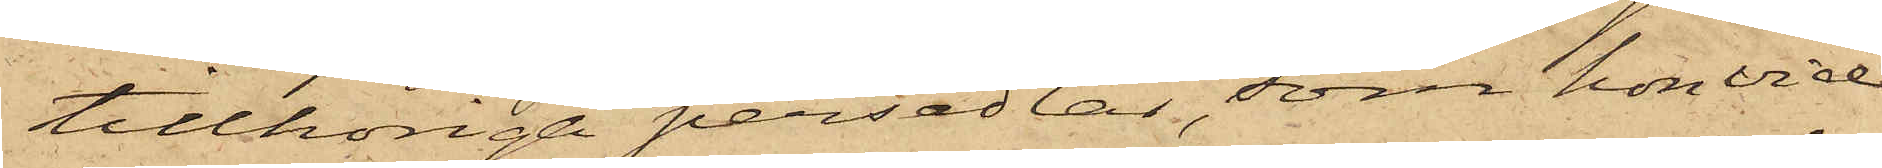tillhörige persedlar, som hon vid
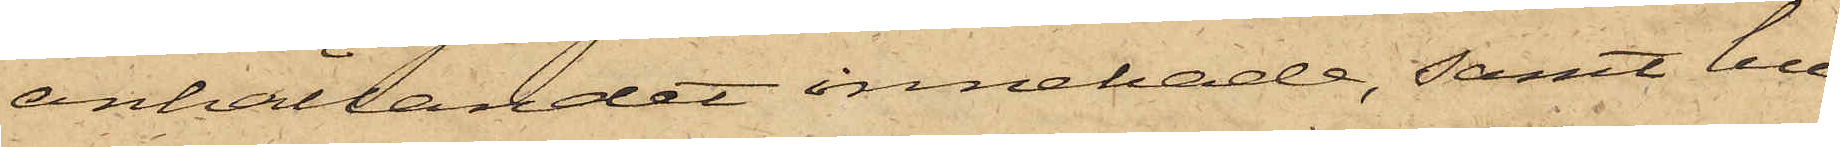anhållandet innehade, samt hu¬
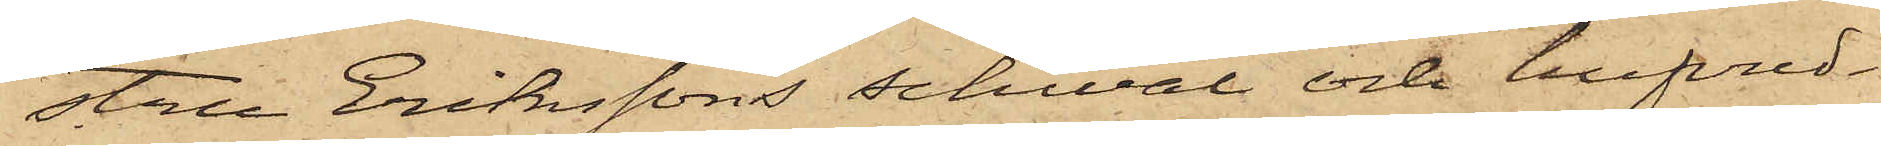stru Erikssons schwal och hufvud¬
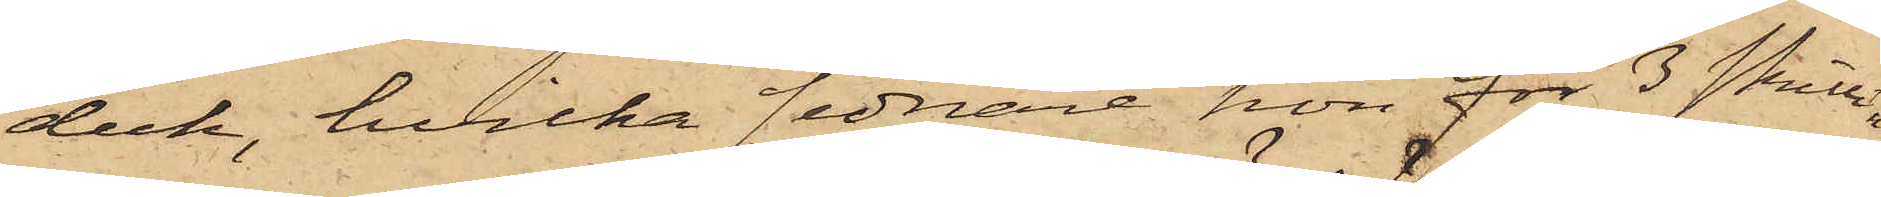duk, hvilka sednare hon för 3 skillin¬
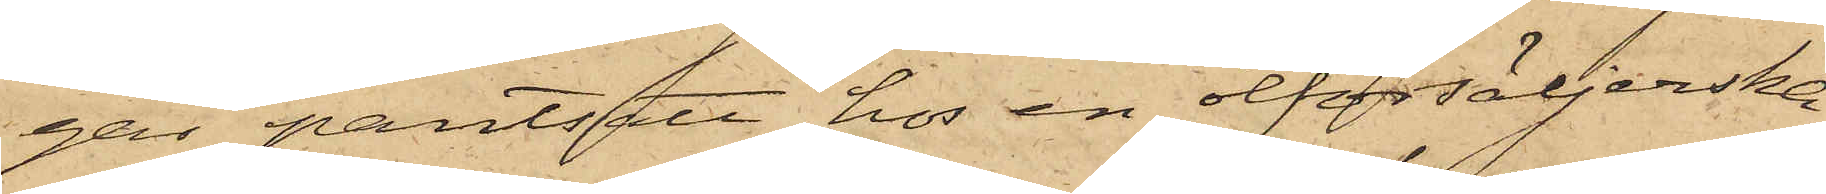gar pantsatt hos en ölförsäljerska;
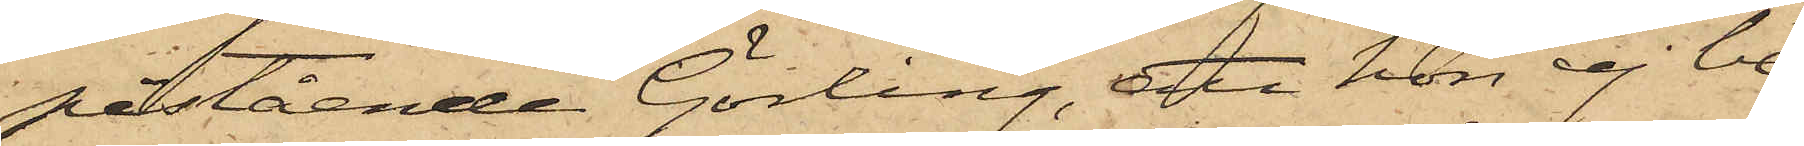påstående Görling, att hon ej be¬
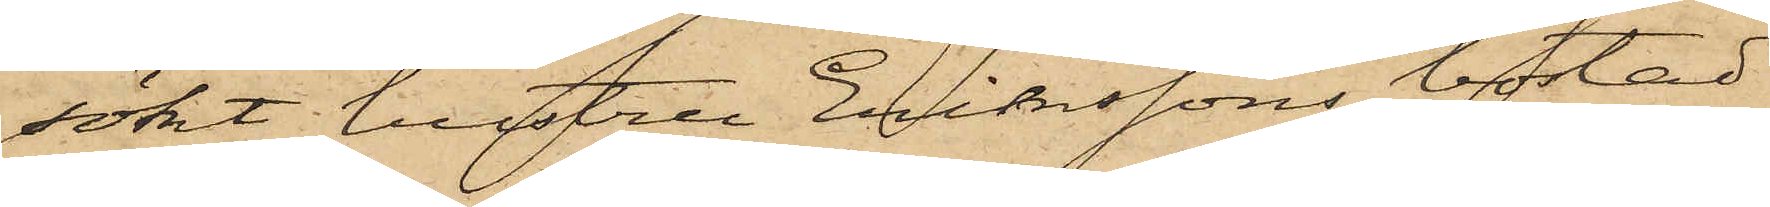sökt hustru Erikssons bostad
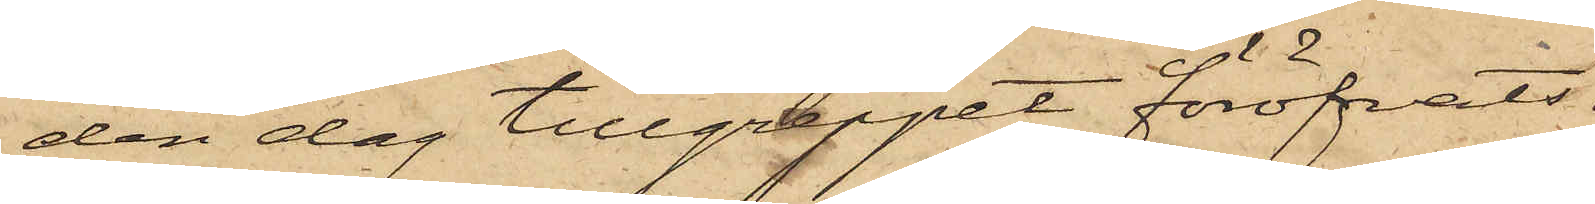den dag tillgreppet föröfvats.
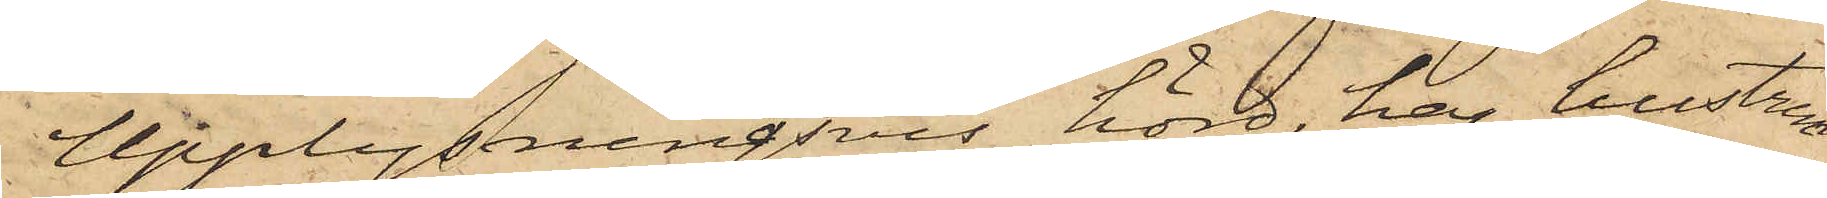Upplysningsvis hörd, har hustrun
